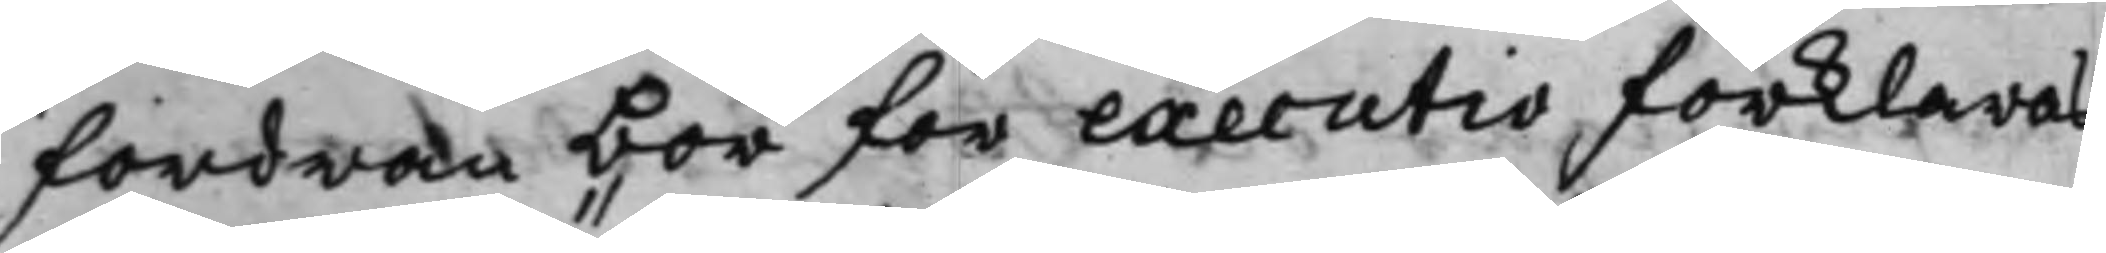fordran bör för executio förklaras
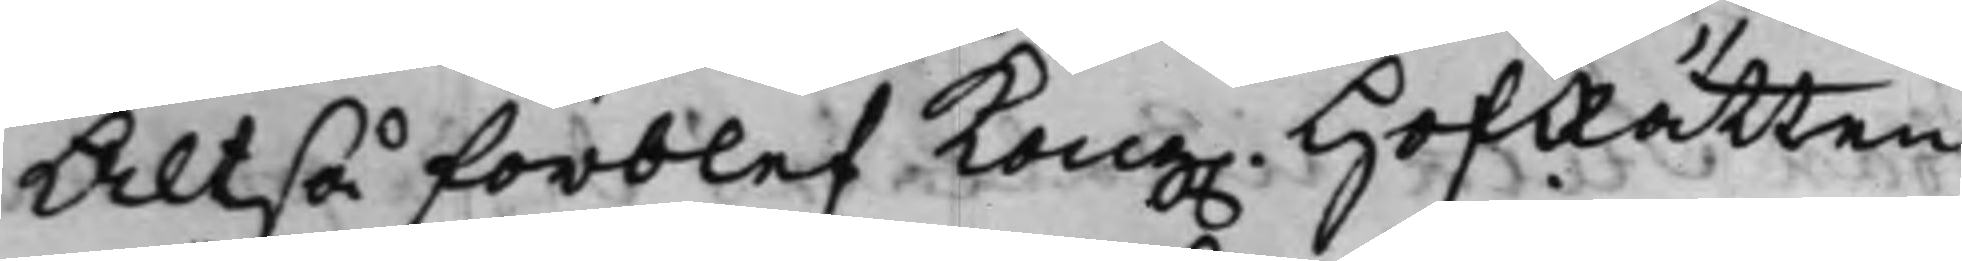Altså förblef Kong. HofRätten
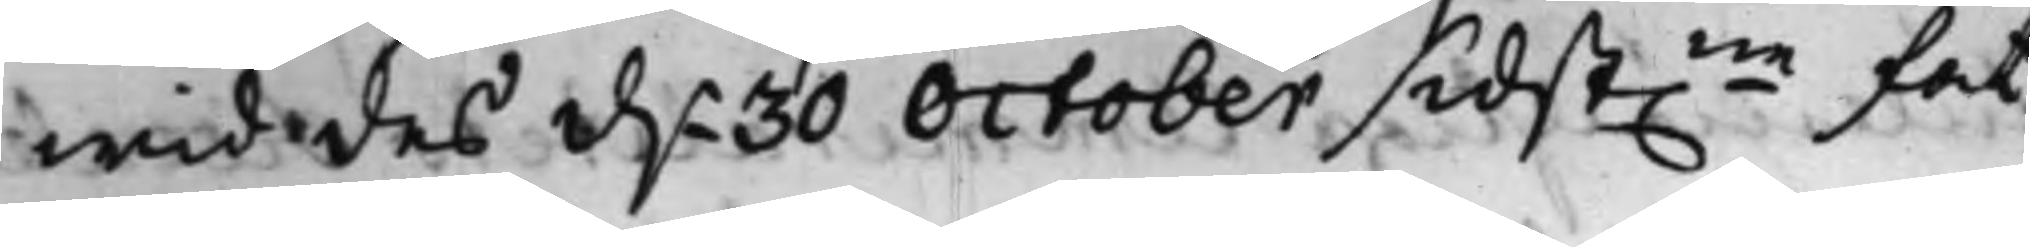wid des d.n 30 October sidst.ne fat¬
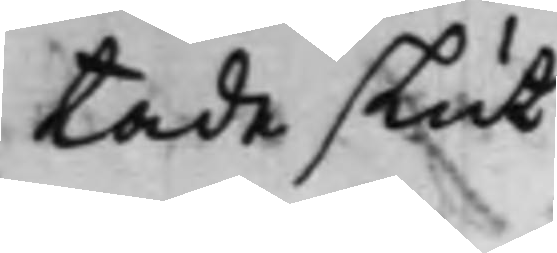tade slut.
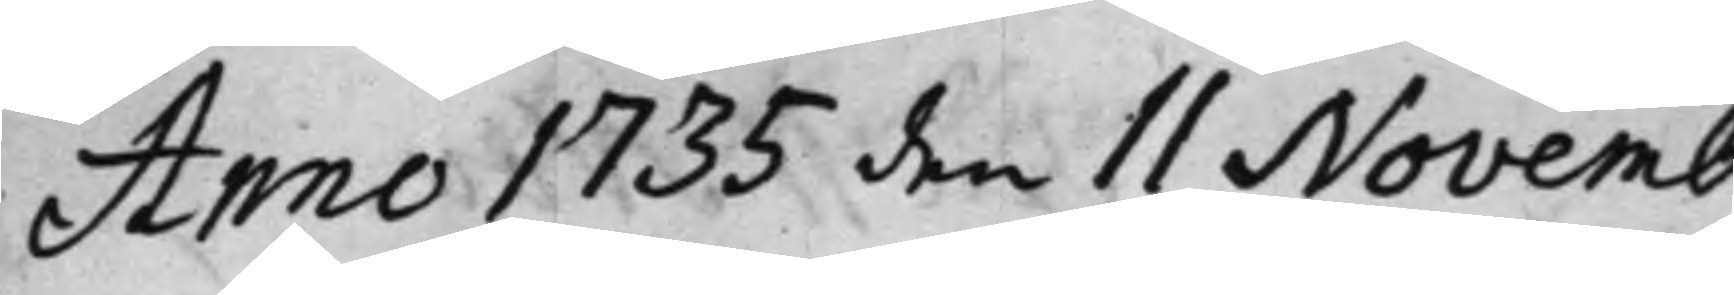Anno 1735 den 11 Novemb.
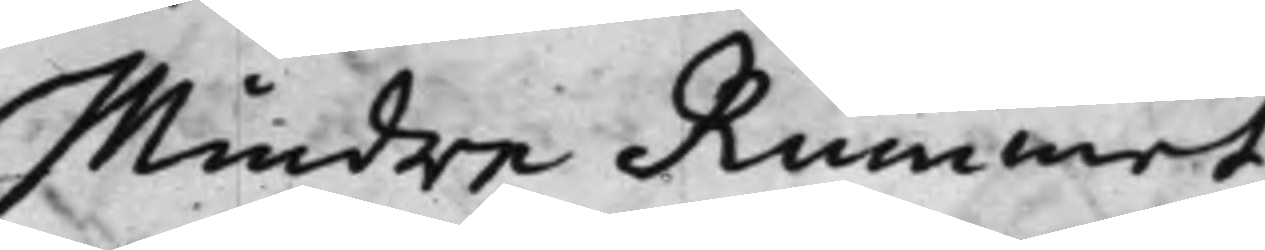Mindre Rummet.
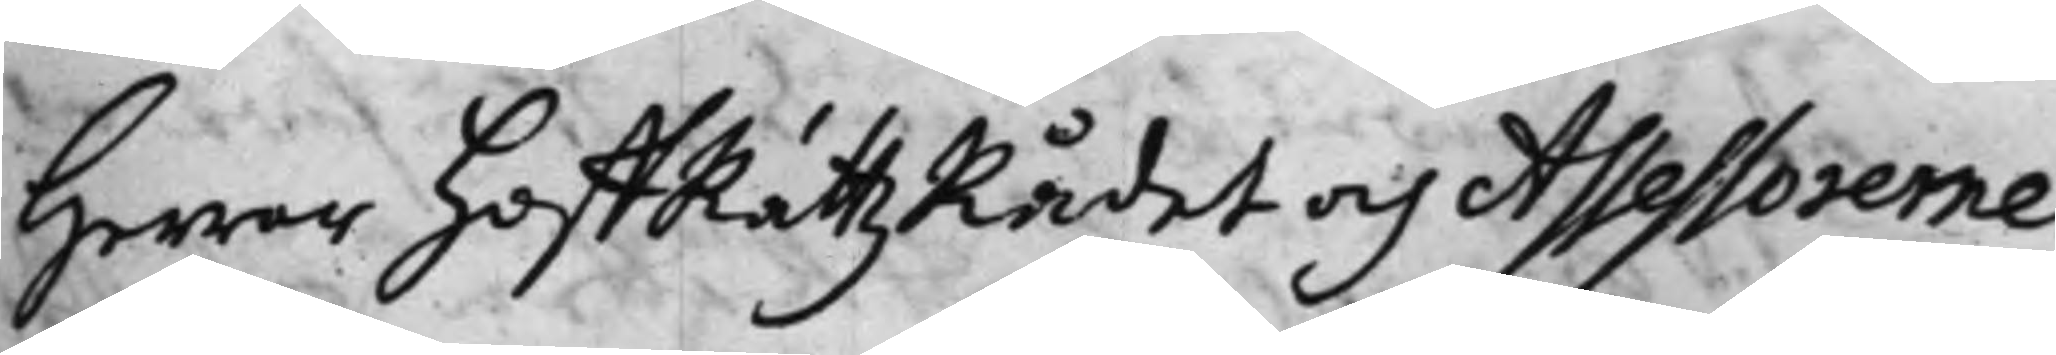Herrar HoffRättzRådet och Assessorerne:
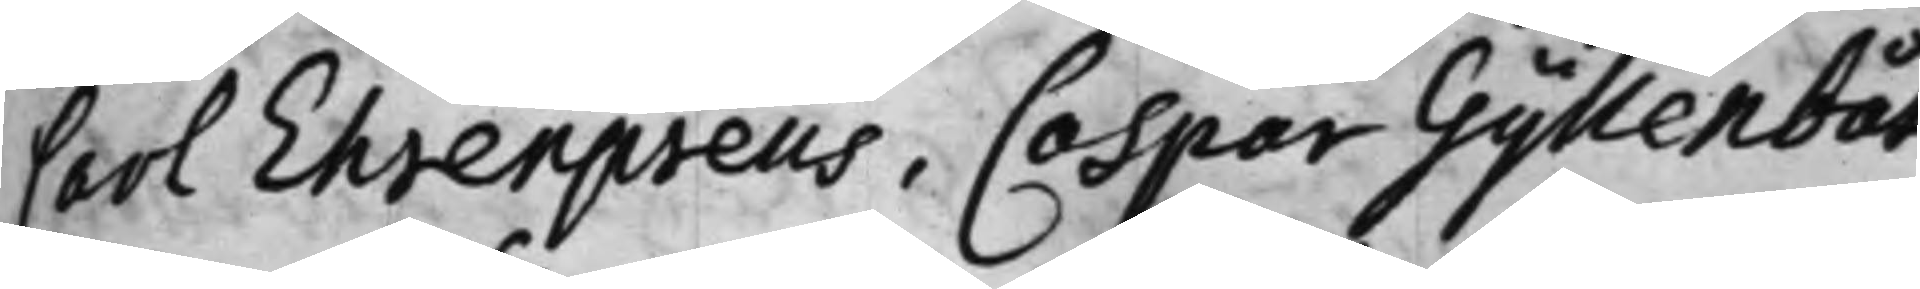Carl Ehrenpreus, Caspar Gyllenbåt,
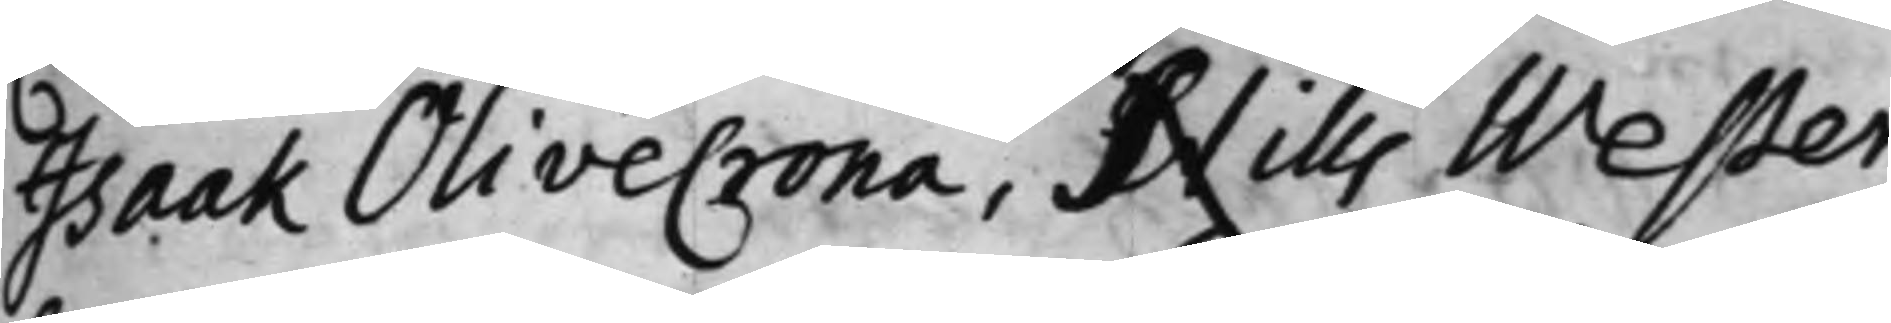Isaak Olivecrona, Nills Wester,
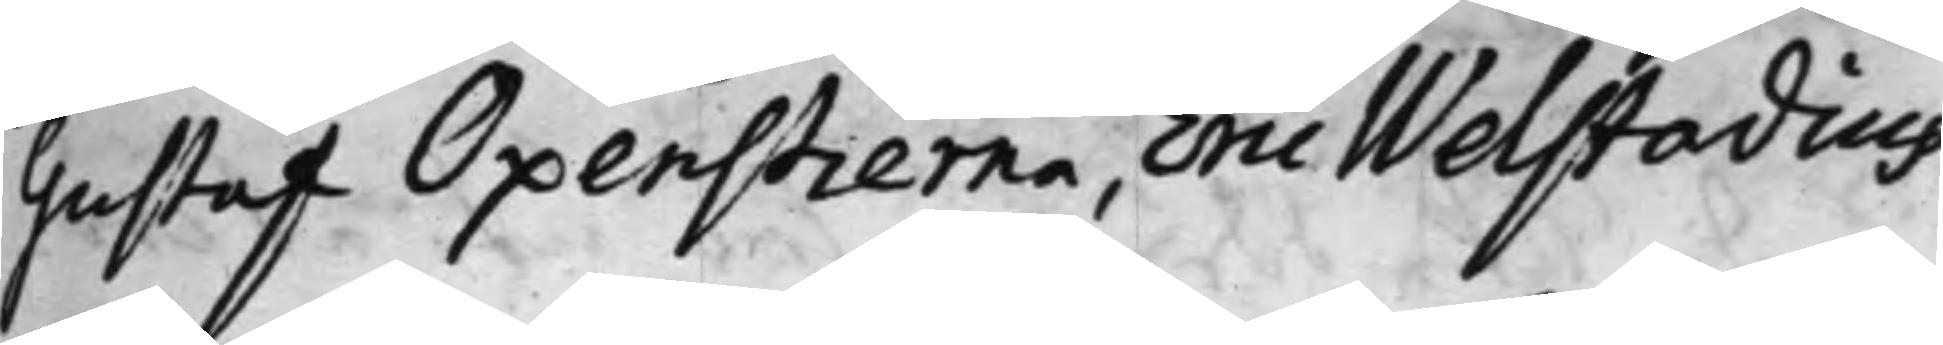Gustaf Oxenstierna, Eric Welstadius.
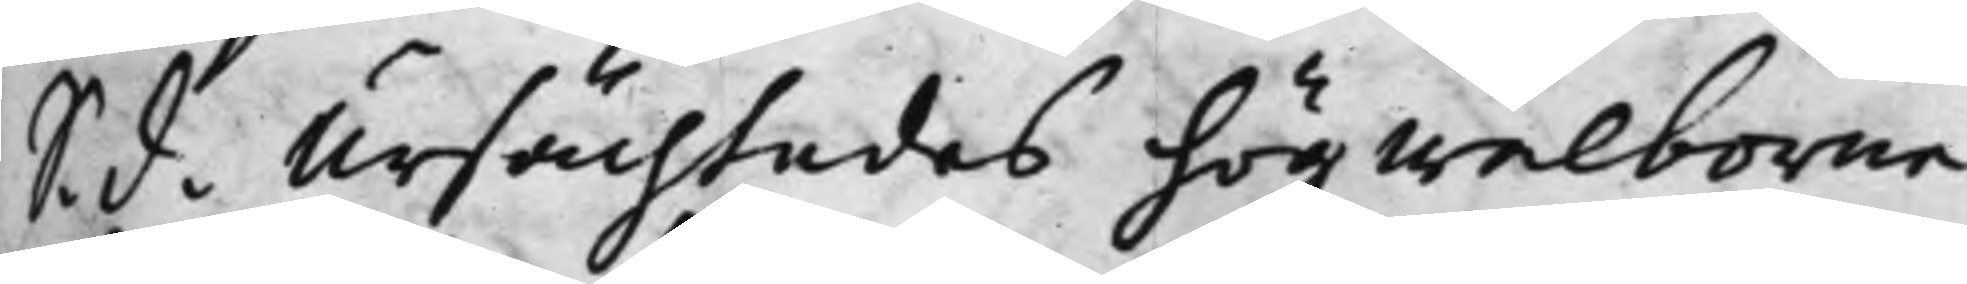S. d. Ursächtades högwälborne
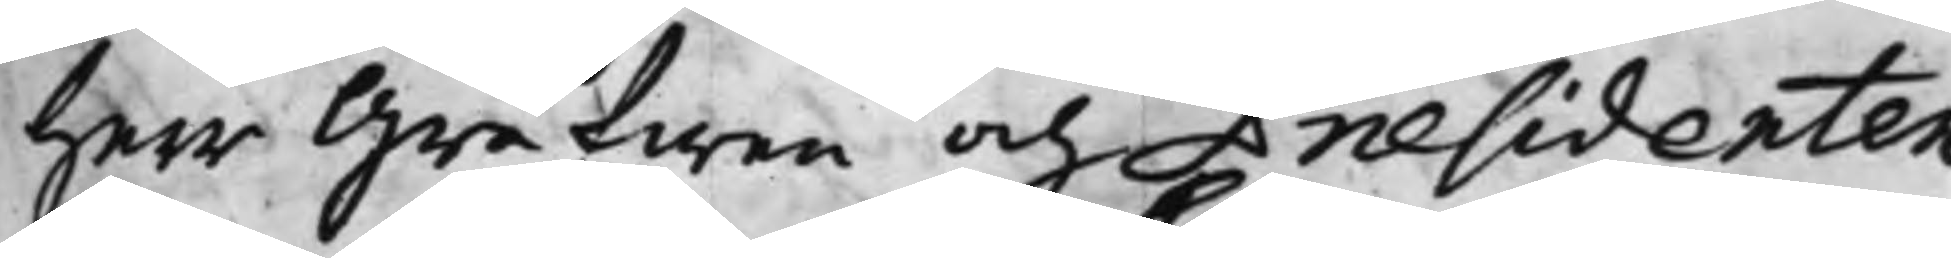Herr Grefwen och Praesidenten
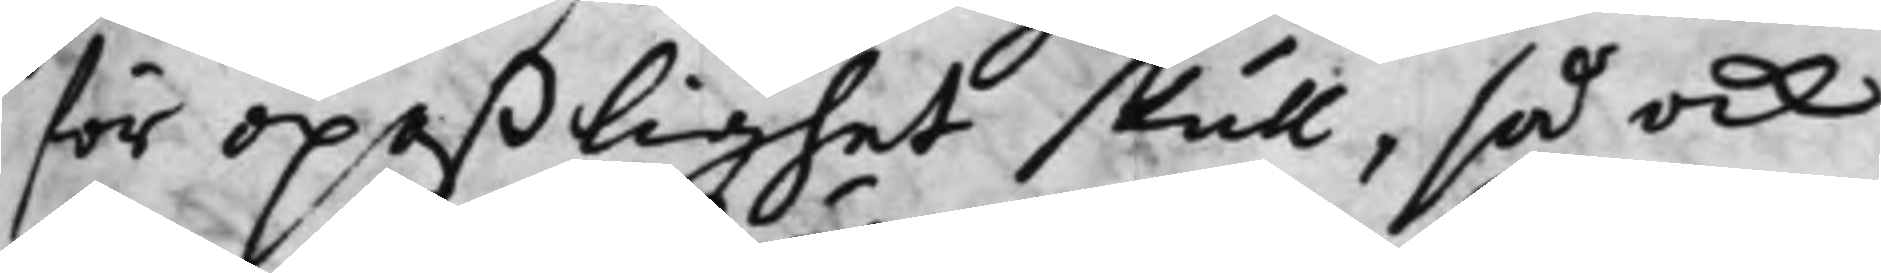för opaßlighet skull, så ock
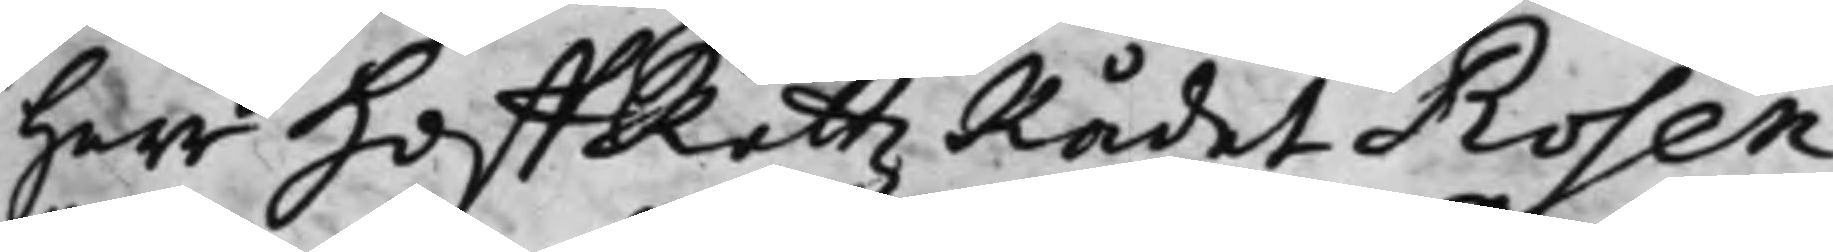Herr HoffRättzRådet Rosen¬
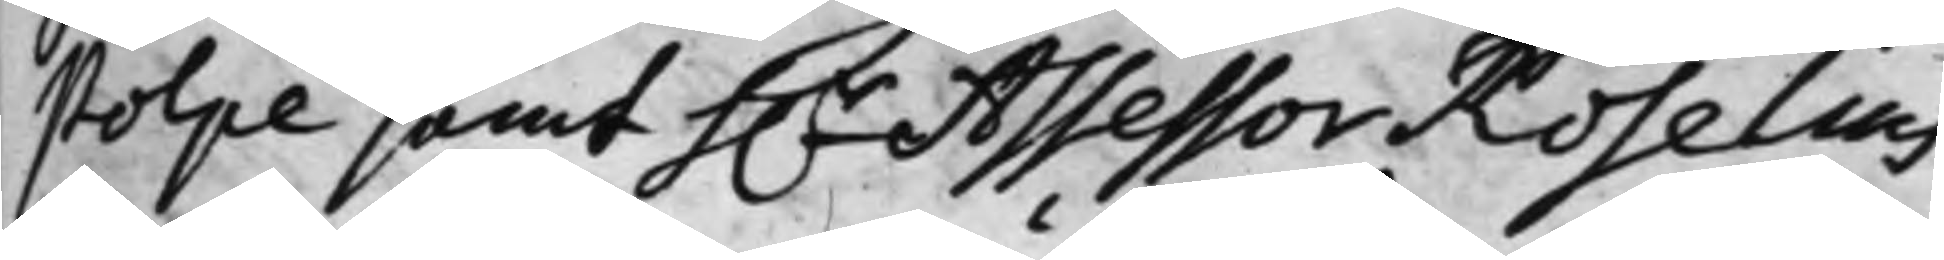stolpe samt h.r Assessor Roselius,
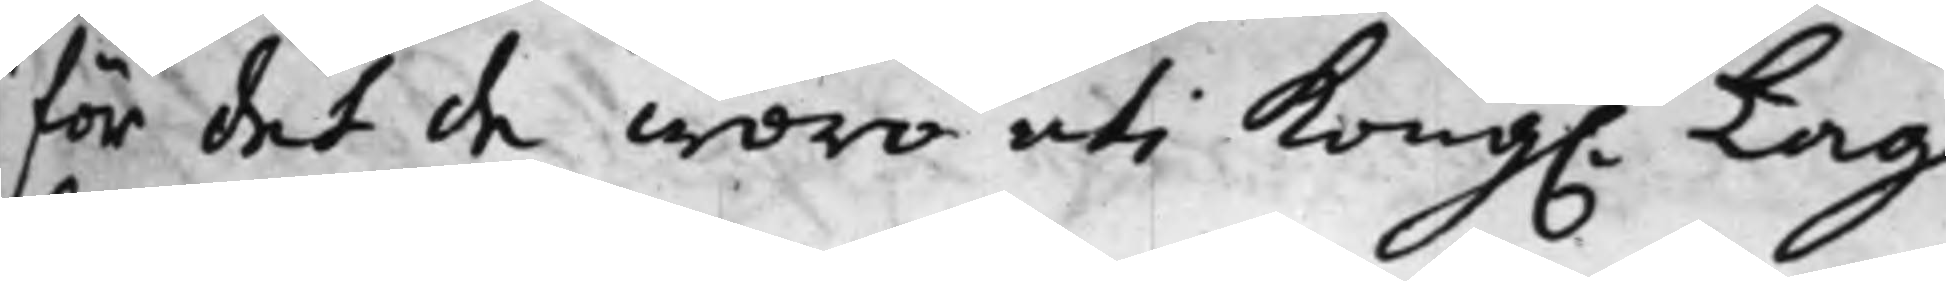för det de woro uti Kong. Lag¬
